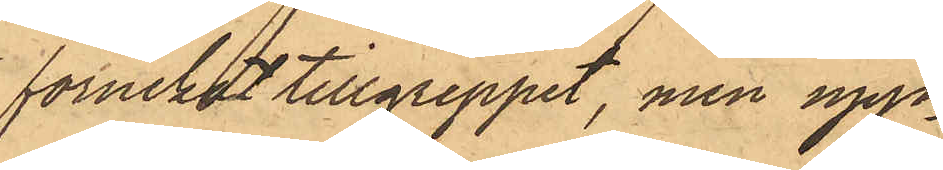förnekat tillgreppet, men upp¬
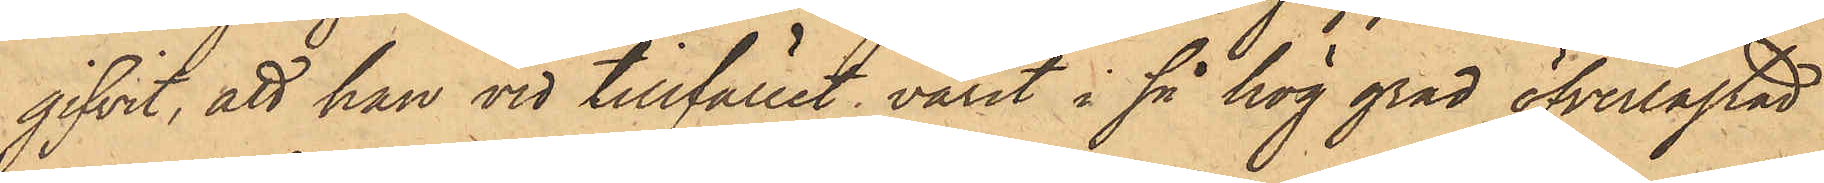gifvit, att han vid tillfället varit i så hög grad öfverlastad
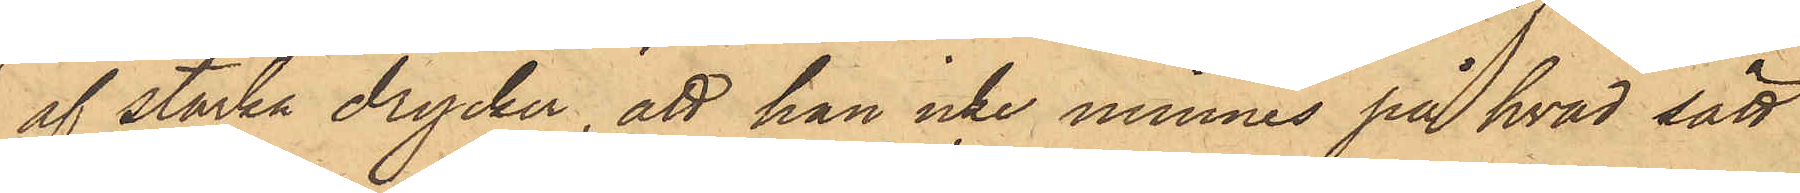af starka drycker, att han icke minnes på hvad sätt
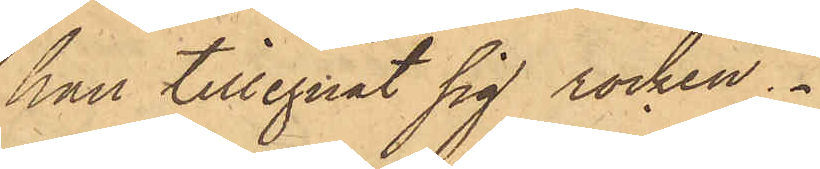han tillegnat sig rocken.
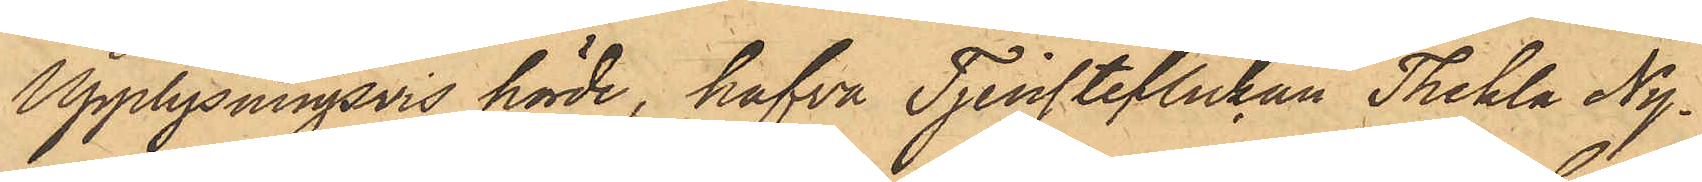Upplysningsvis hörde, hafva Tjensteflickan Thekla Ny¬
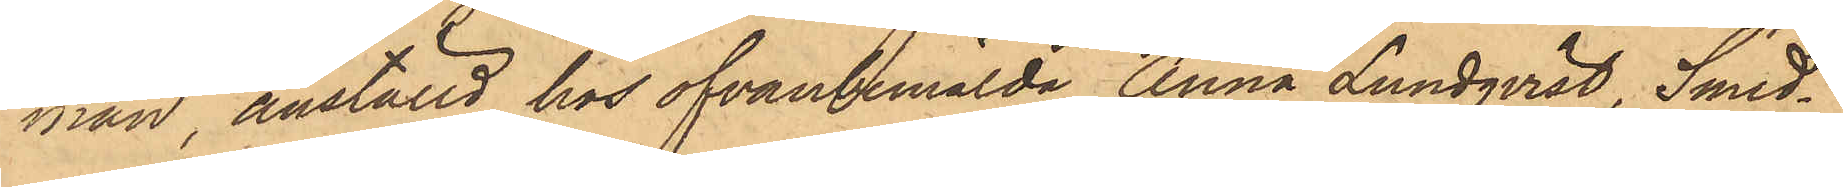man, anställd hos ofvanbemälda Anna Lundqvist, Smed¬
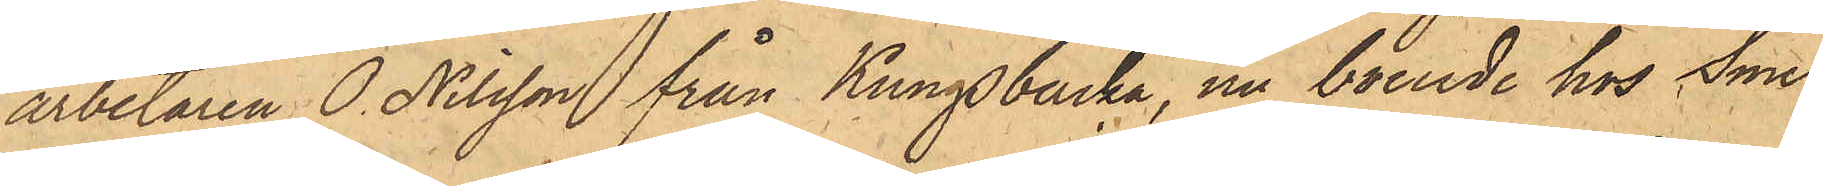arbetaren O. Nilsson från Kungsbacka, nu boende hos Sme¬
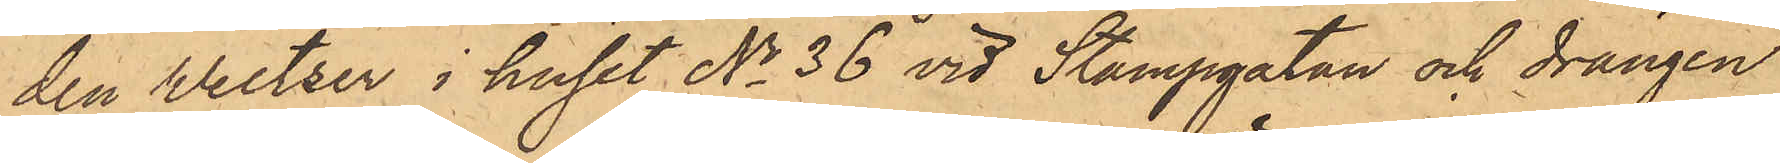den Weltzer i huset No 36 vid Stampgatan och drängen
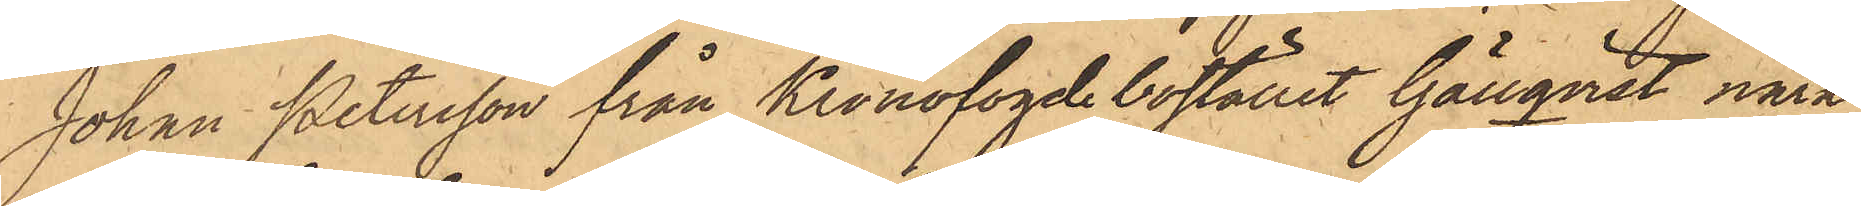Johan Petersson från Kronofogde bostället Gällqvist nära
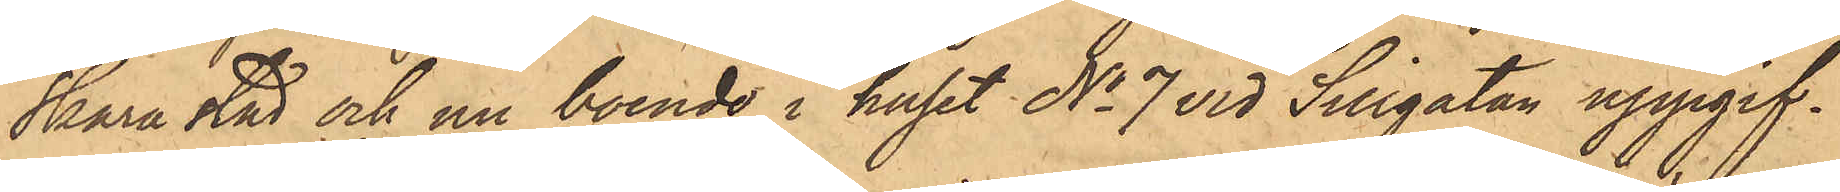Skara stad och nu boende i huset No 7 vid Sillgatan uppgif¬
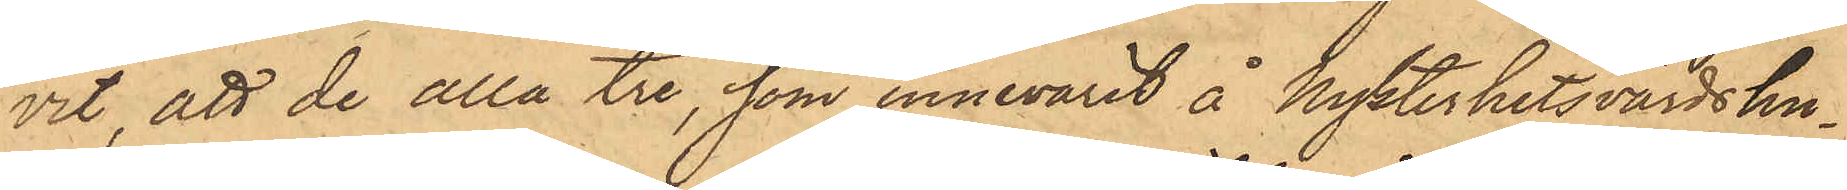vit, att de alla tre, som innevarit å Nykterhetsvärdshu¬
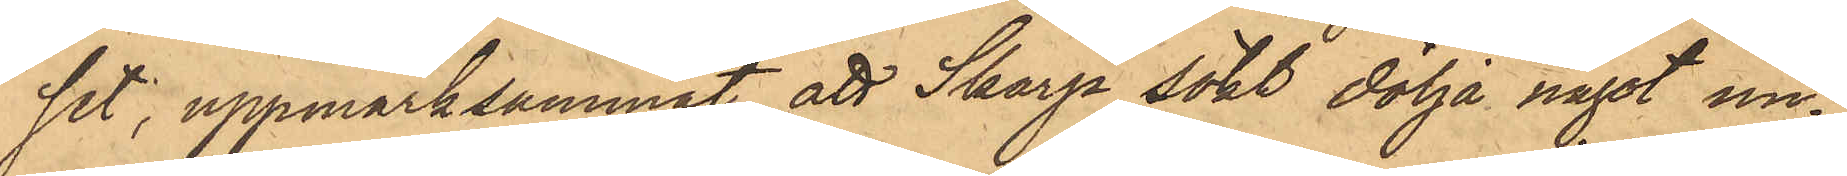set, uppmärksammat att Skarp sökt dölja något un¬
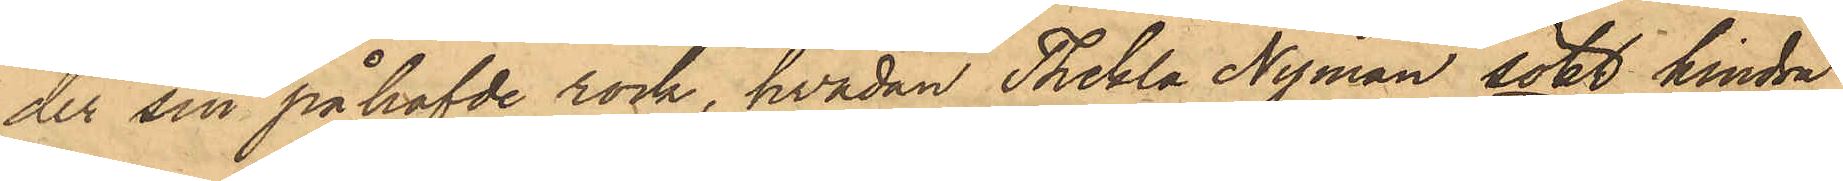der sin påhafvde rock, hvadan Thekla Nyman sökt hindra
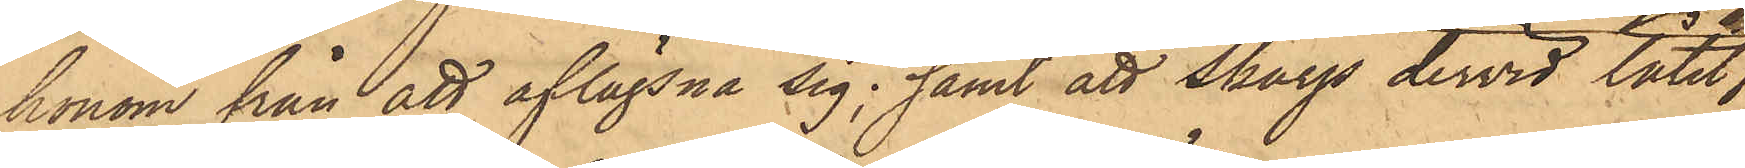honom från att aflägsna sig; samt att Skarp dervid låtit
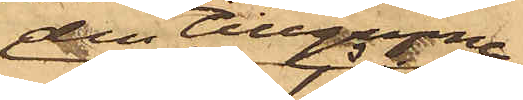den tillgripne
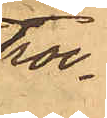roc¬
